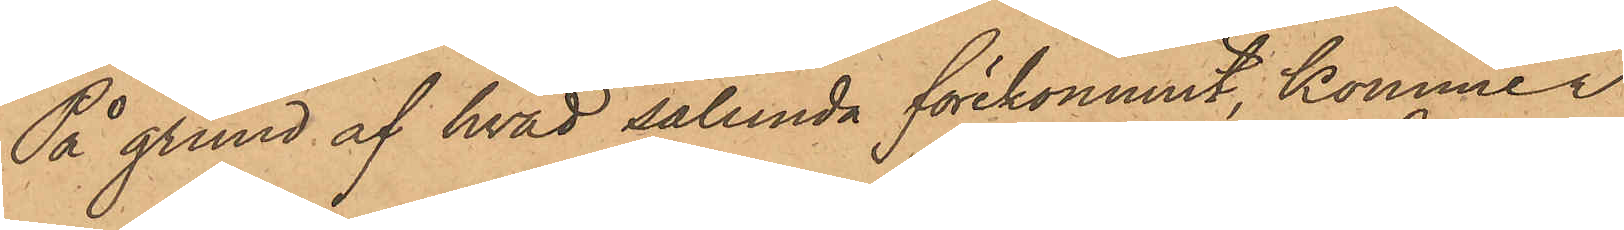På grund af hvad sålunda förekommit, kommer
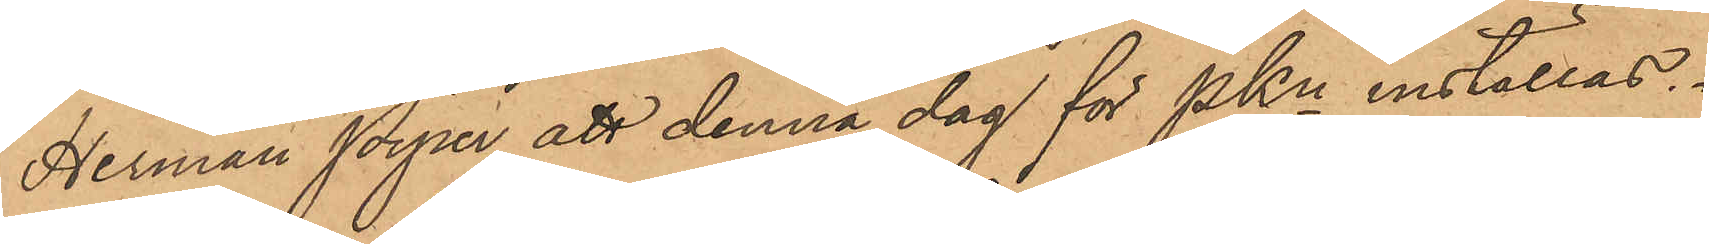Herman Piper att denna dag för PKn inställas.
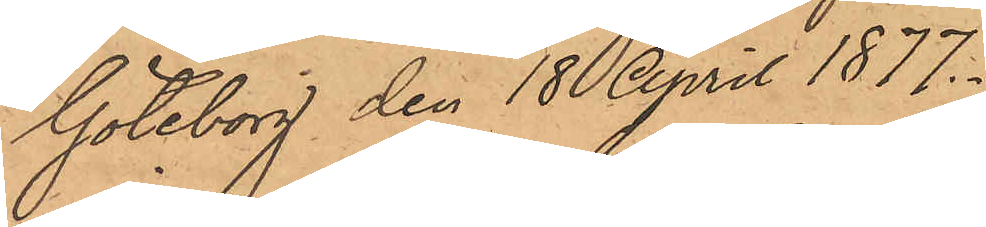Göteborg den 18 April 1877.
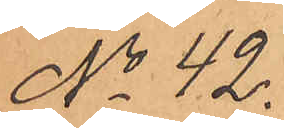No 42.
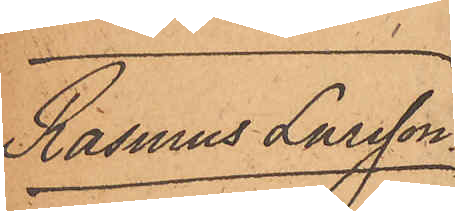Rasmus Larsson.
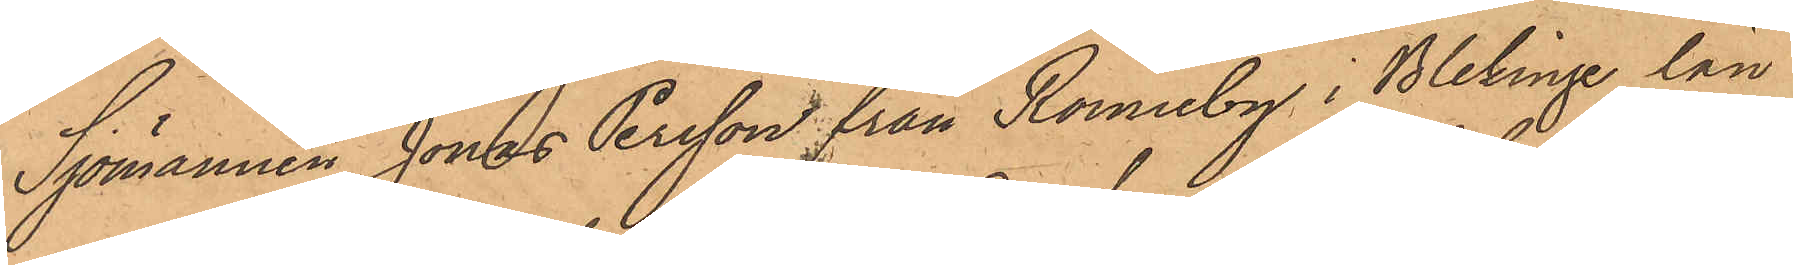Sjömannen Jonas Persson från Ronneby i Blekinge län
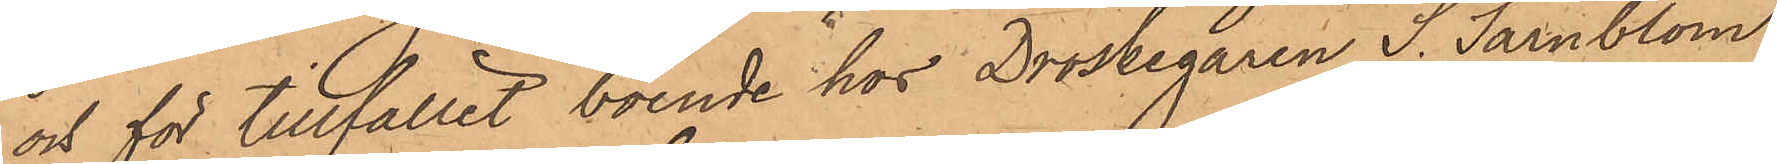och för tillfället boende hos Droskegaren S. Särnblom
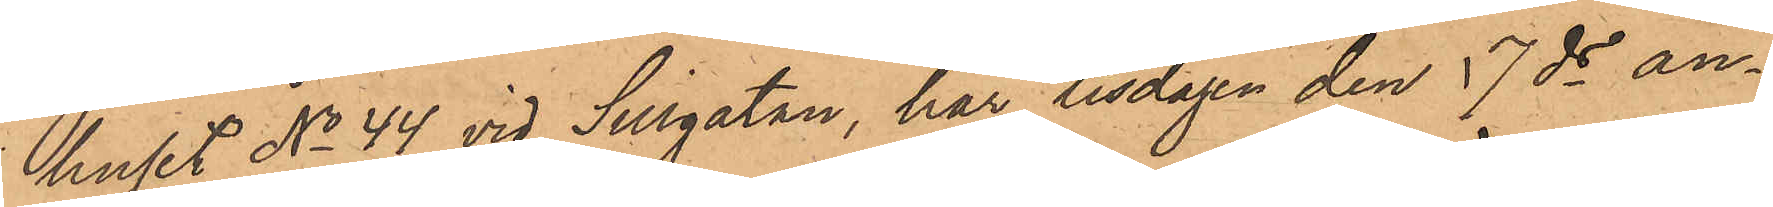huset No 44 vid Sillgatan, har tisdagen den 17 ds an¬
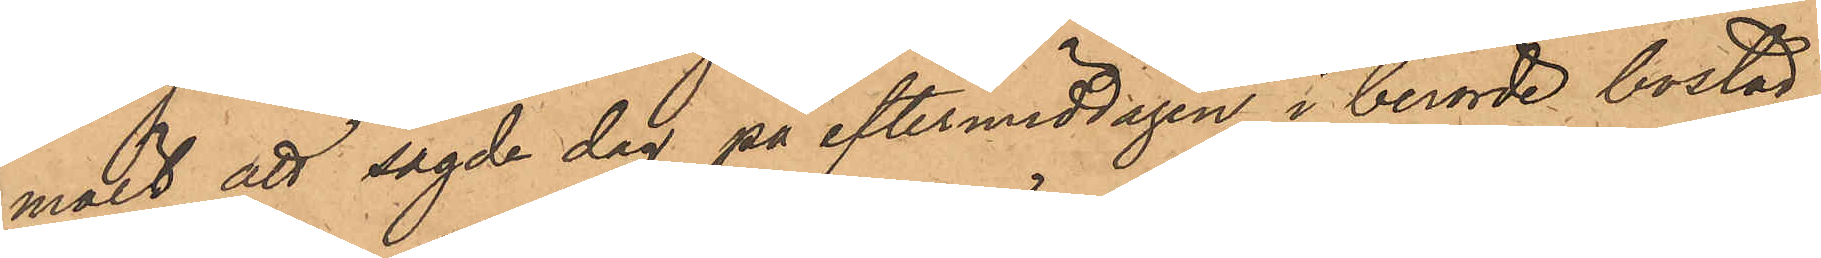mält att sagde dag på eftermiddagen i berörde bostad
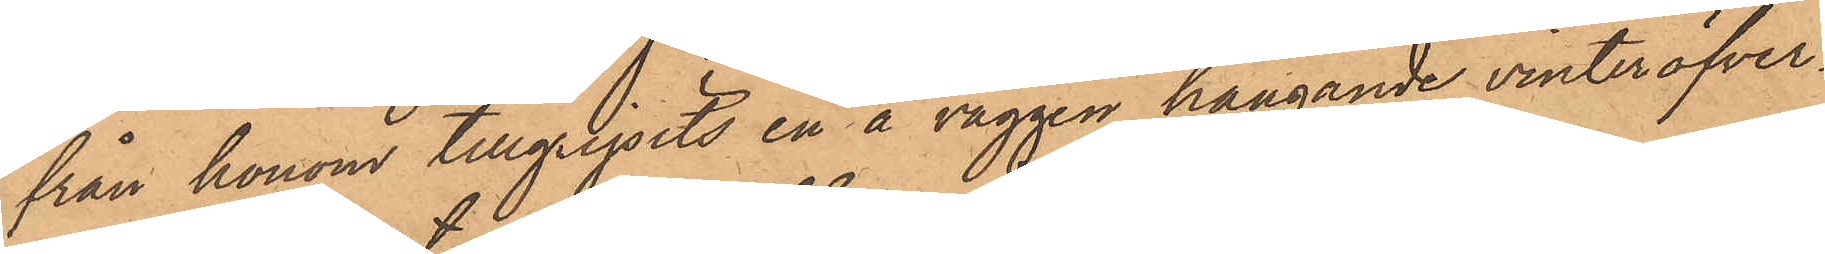från honom tillgripits en å väggen hängande vinteröfver¬
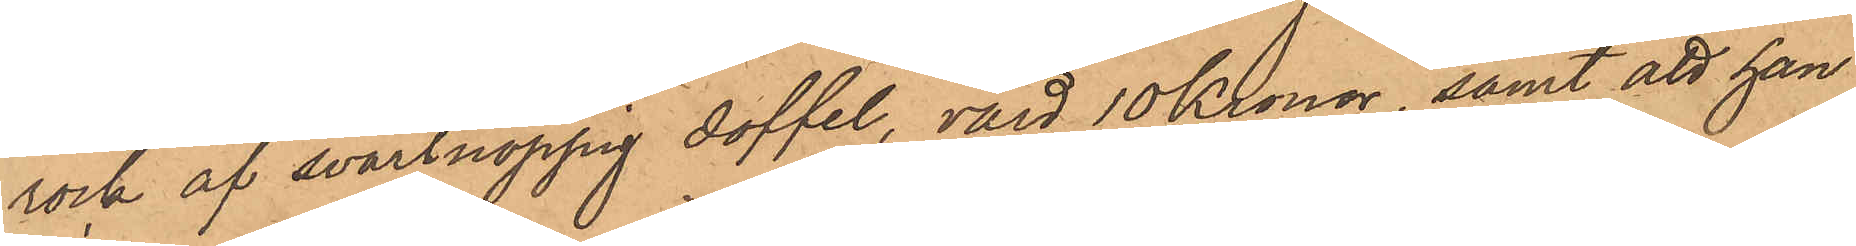rock af svartnoppig doffel, värd 10 Kronor, samt att han
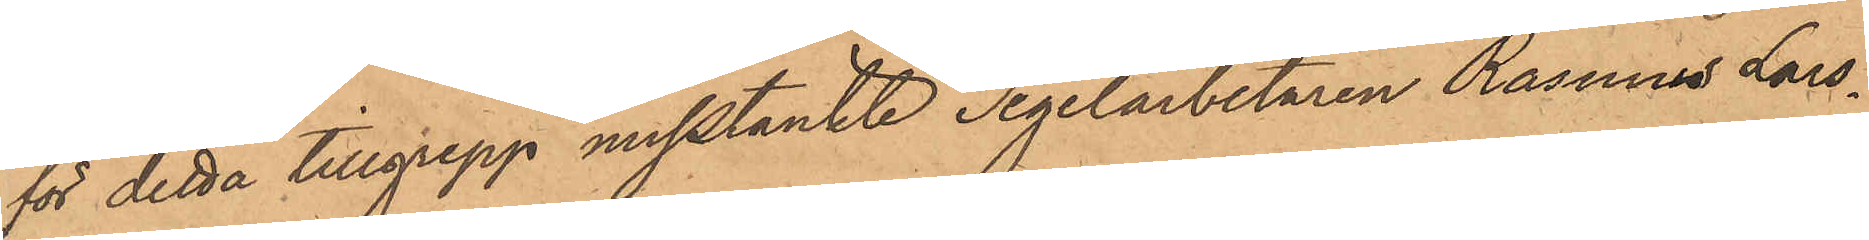för detta tillgrepp misstänkte Tegelarbetaren Rasmus Lars¬
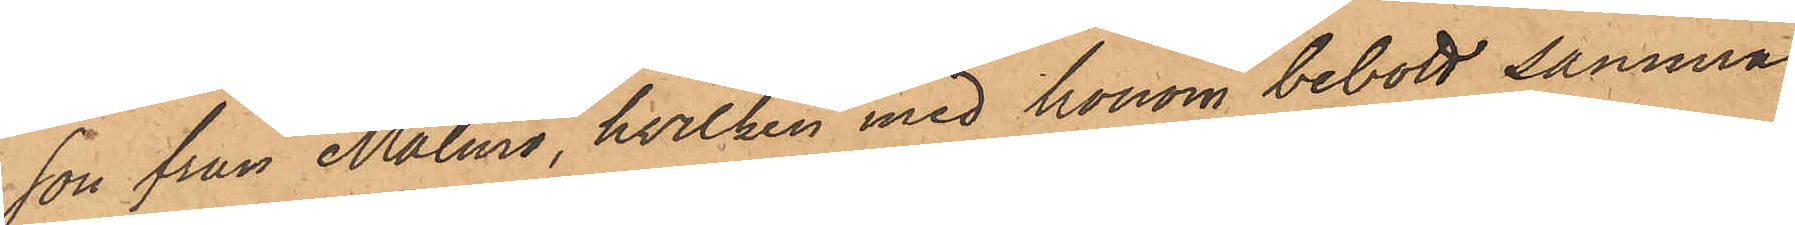son från Malmö, hvilken med honom bebott samma
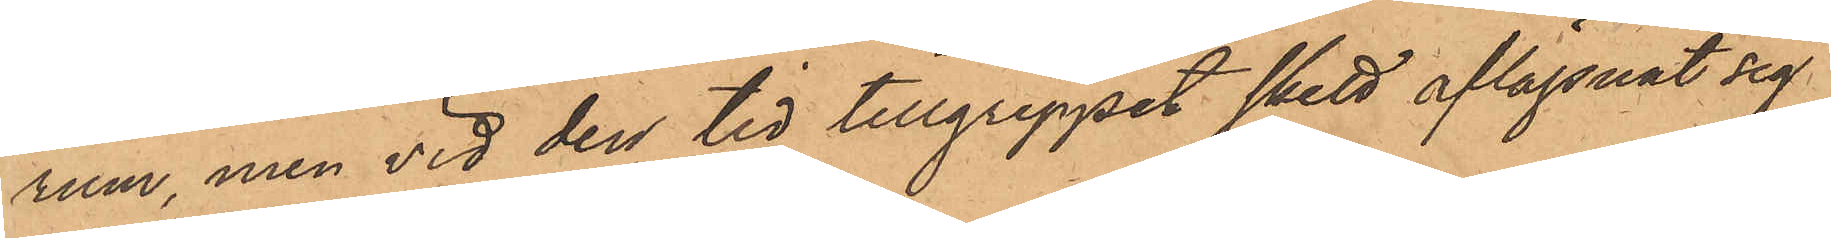rum, men vid den tid tillgreppet skett aflägsnat sig
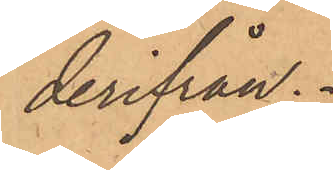derifrån.
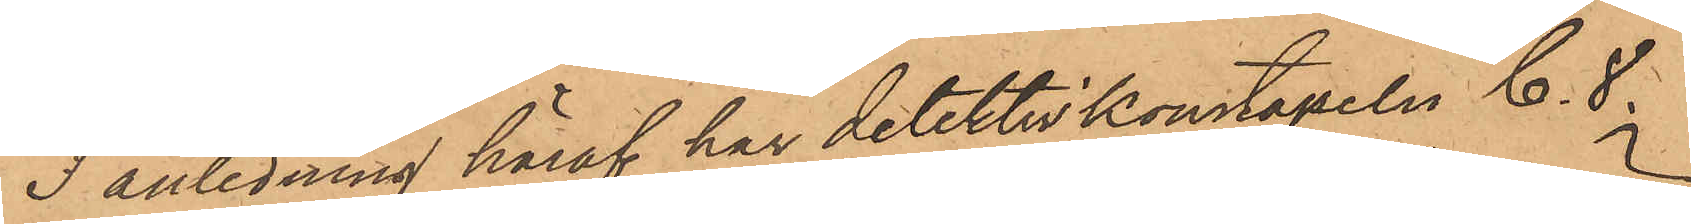I anledning häraf har detektivkonstapeln C. S.
